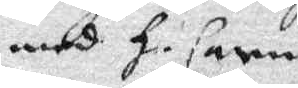medh H. Carin
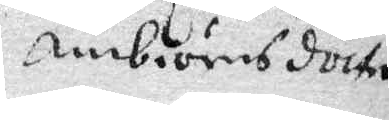Ambiörnsdotter.
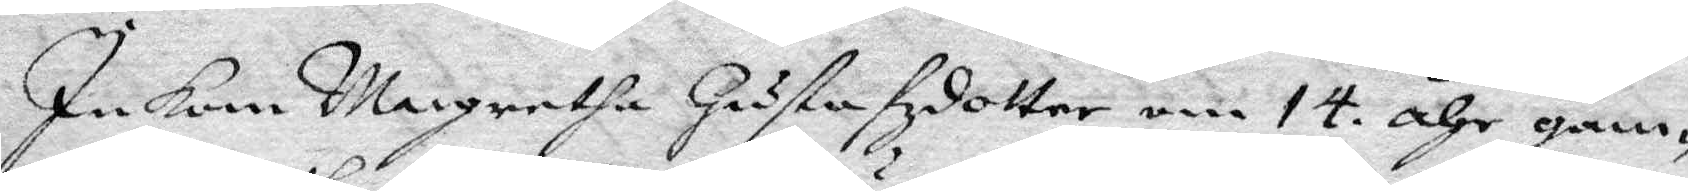Inkom Margaretha Gustafzdotter om 14 åhr gam¬
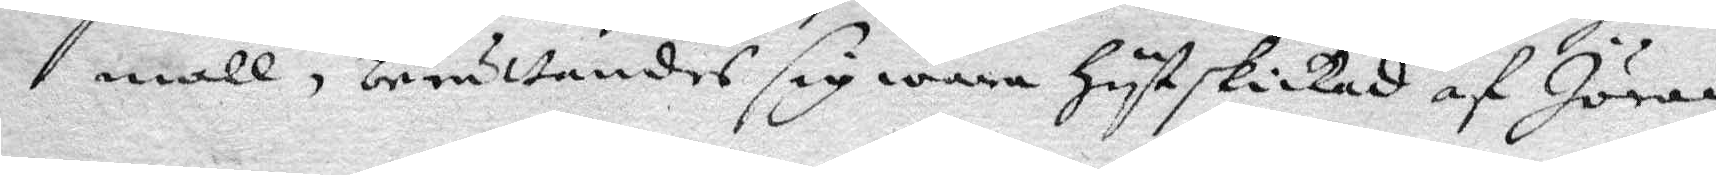mall, berättandes sig wara Hytskickad af Jöran
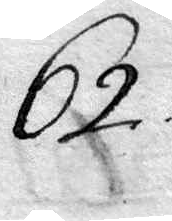62.
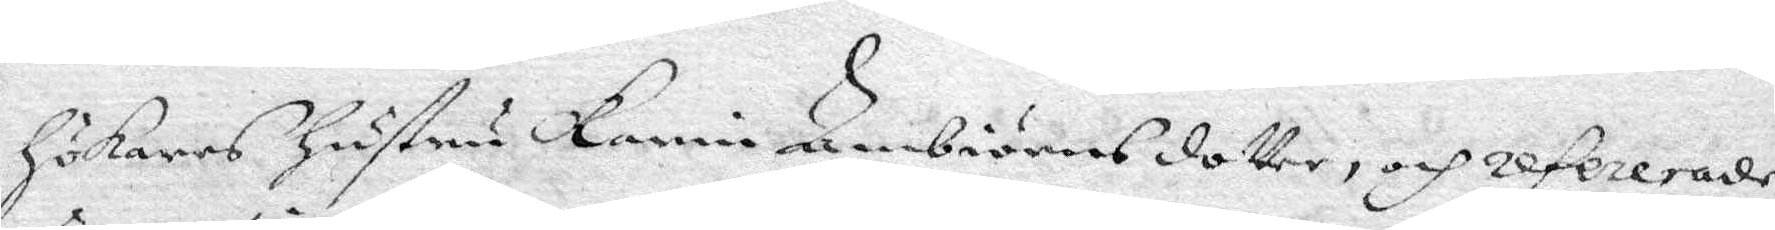Hökares Hustru Karin Ambiörnsdotter, och refererade
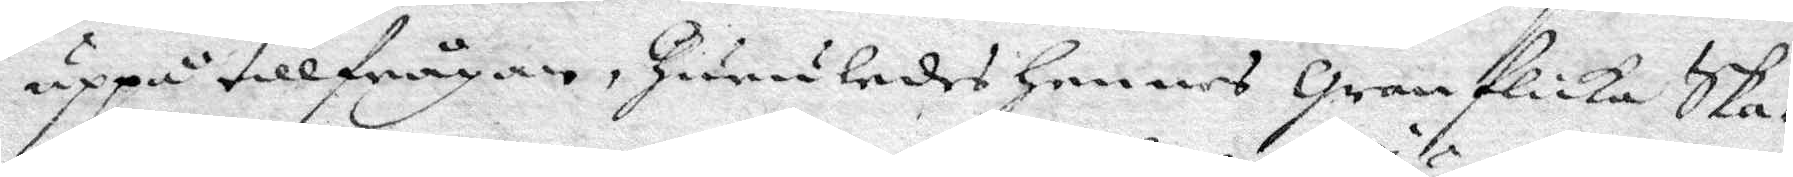uppå tillfrågan, Huruledes Hennes Granflicka Ska¬
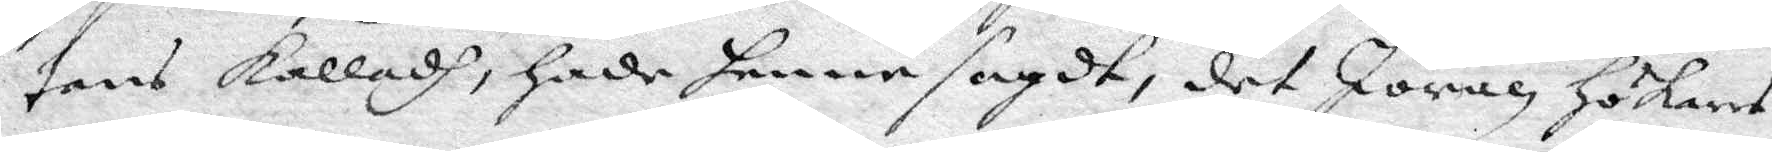tans kalladh, Hade henne sagdt, det Jöran Hökares
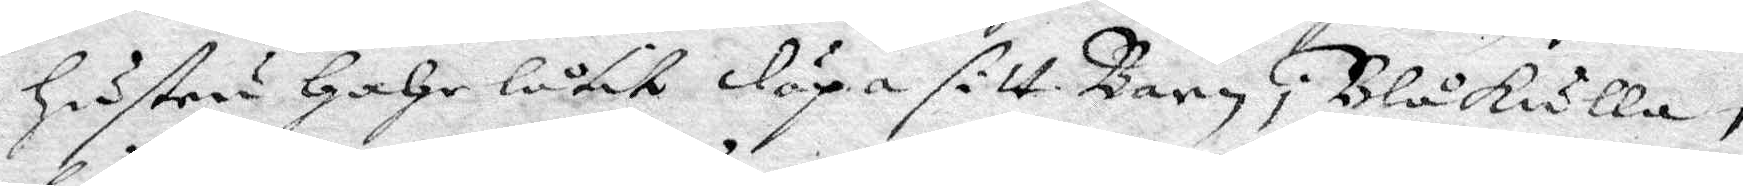Hustru HaHe låtit döpa sitt Barn i Blåkulla,
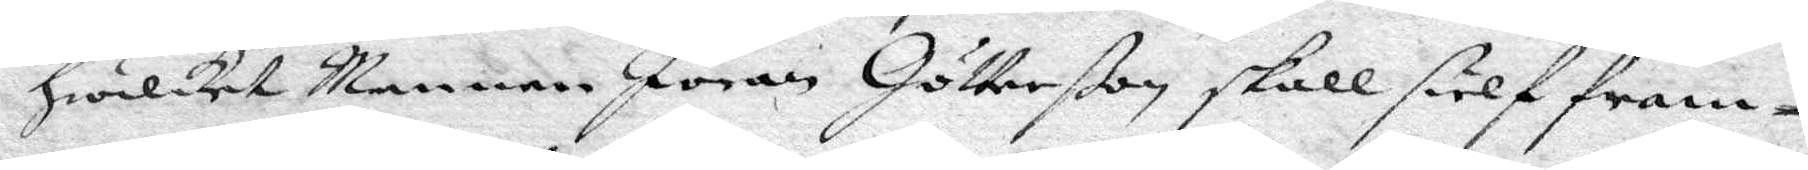Hwilket Mannen Jöran Götlerßon skall sielf fram¬
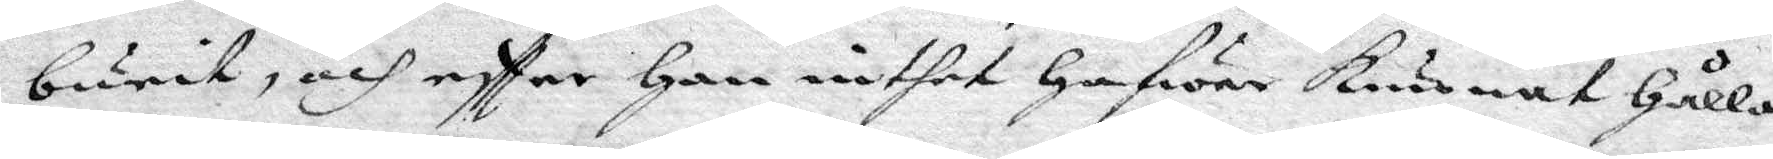burit, och eftter Han inthet Hafwer kunnat Hålla
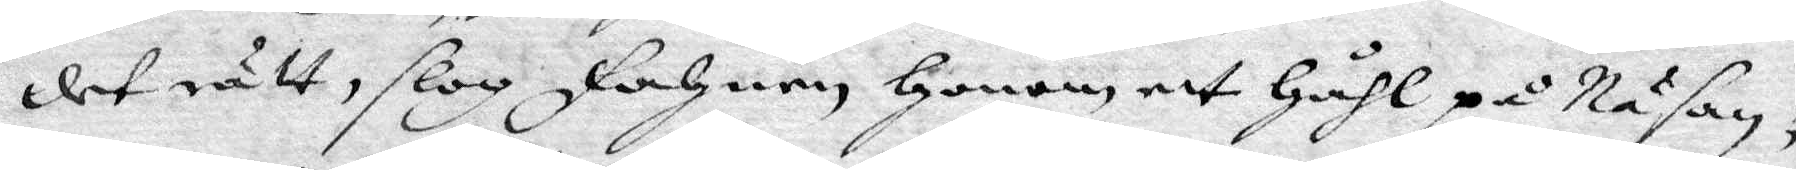det rätt, slog fahnen Honom ett Håhl på Näsan;
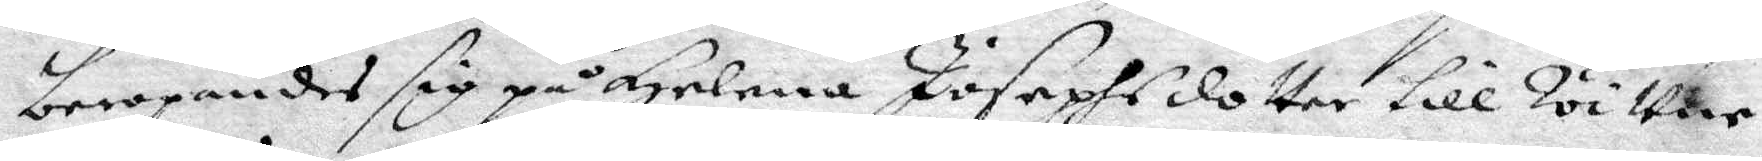beropandes sig på Helena Josephsdotter till Wittne,
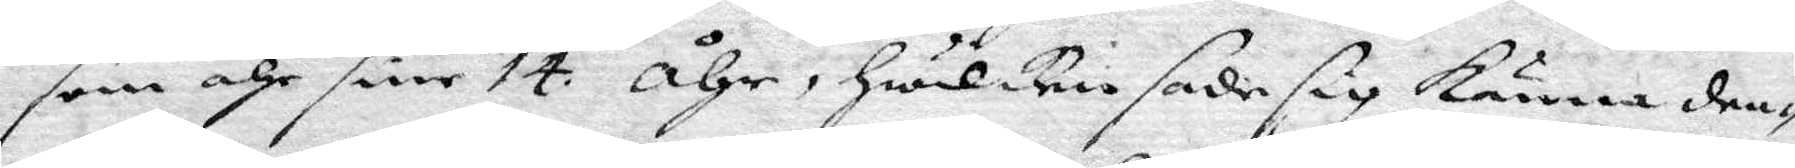som ähr sine 14 åhr, Hwilken sade sig känna den¬
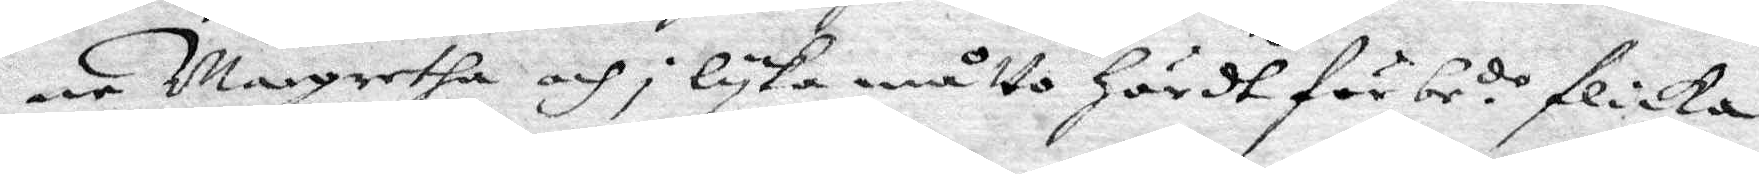ne Margretha och i lyka måtto Hördt förbe.de flicka
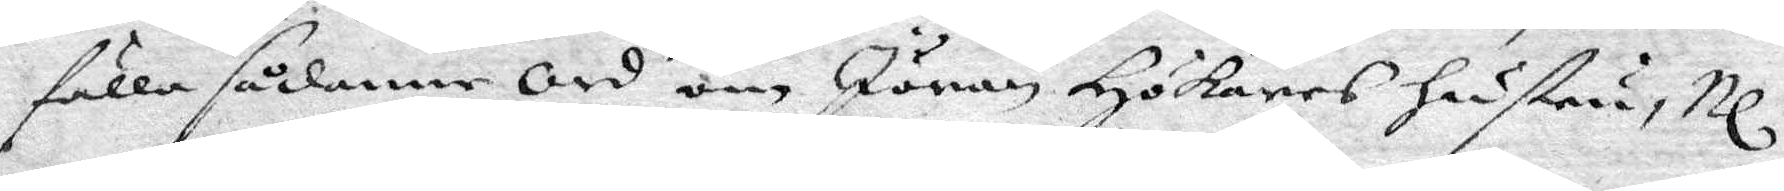fälla sådanne Ord om Jöran Hökares Hustru, Nl.
